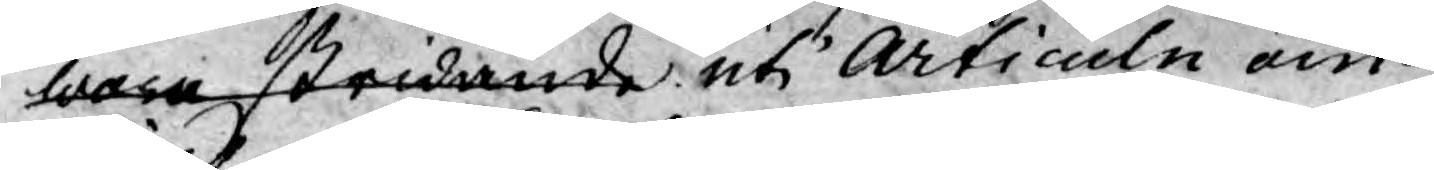wore stridande uti Articuln om
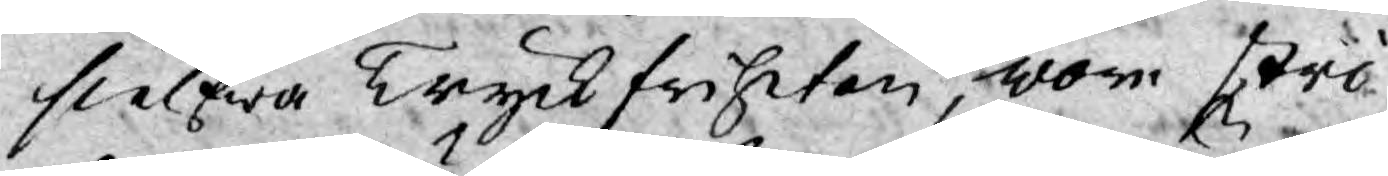sielfwa Tryckfriheten, wore stri¬
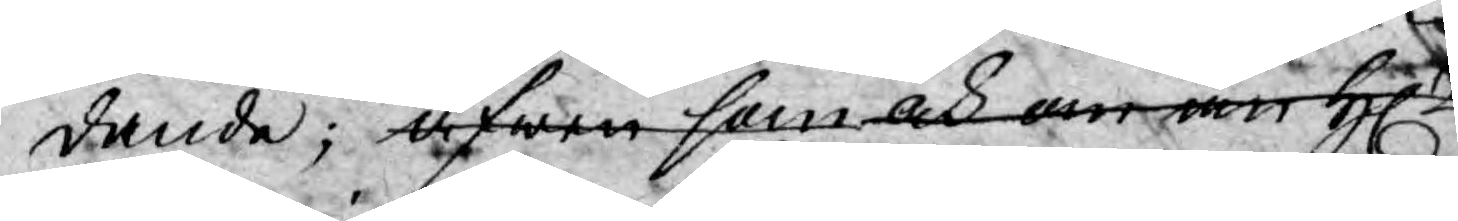dande; äfwen som och om än H.
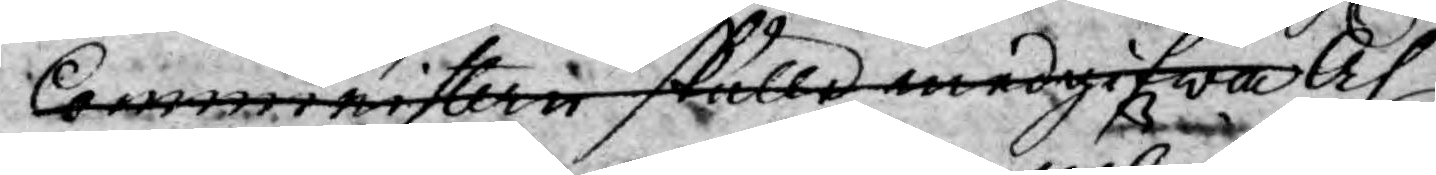Comministern skulle medgifwa och
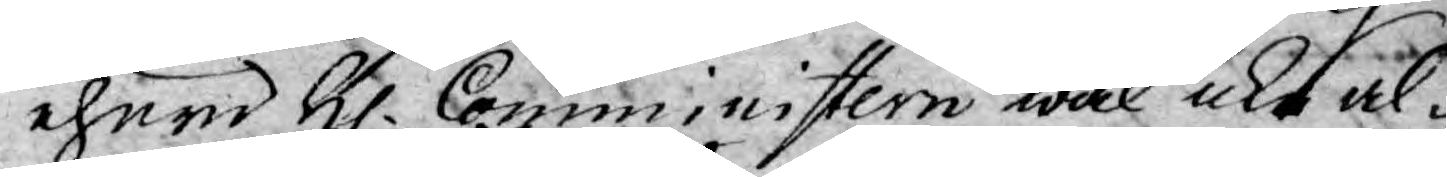ehuru H. Comministern wäl icke al¬
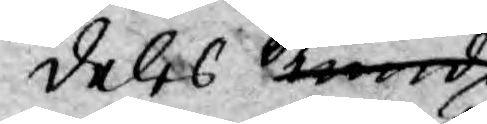deles kunde
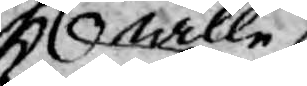wille
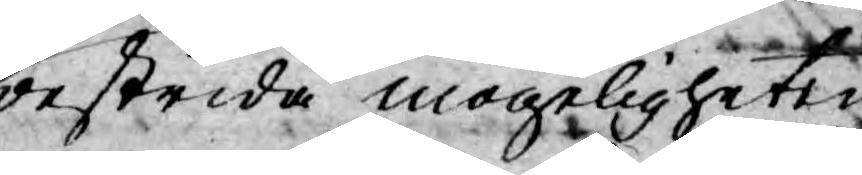bestrida mögeligheten
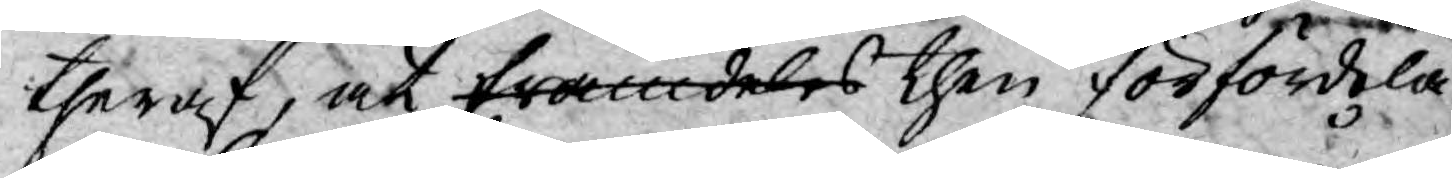theraf, at framdeles then förfördela¬
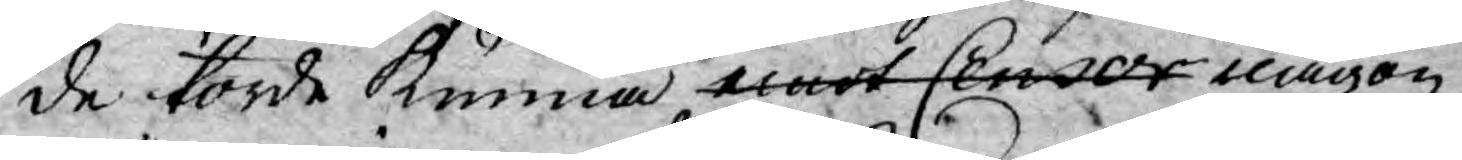de torde kunna emot Censor någon
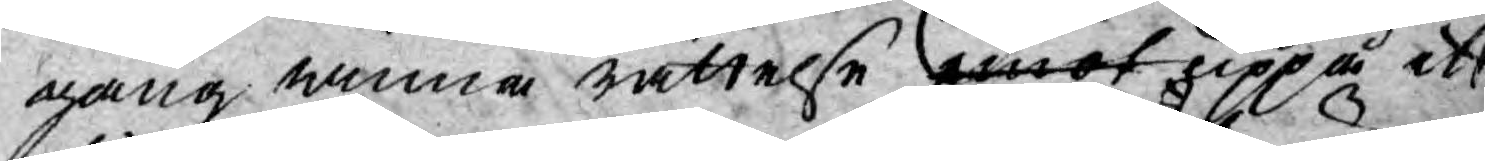gång winna rättelse emot uppå ett
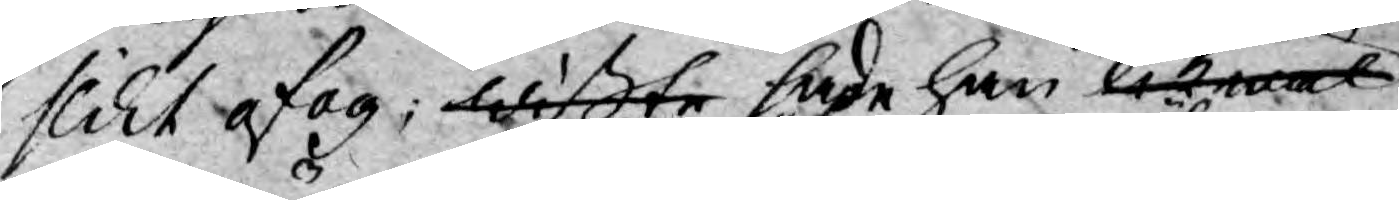slikt ofog, wißte hade han likwäl
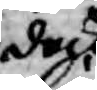dock
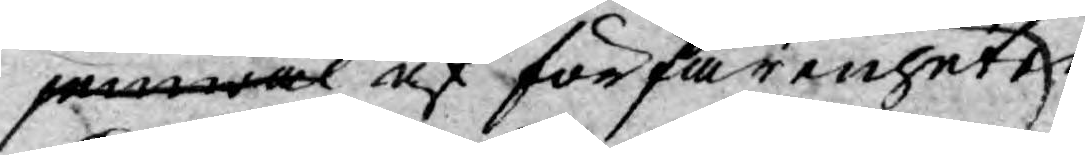jemwäl af förfarenheten
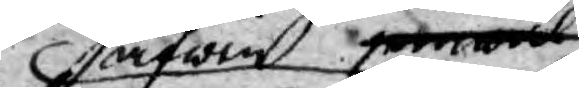äfwen
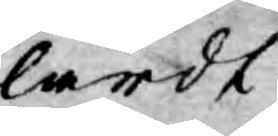lärdt,
